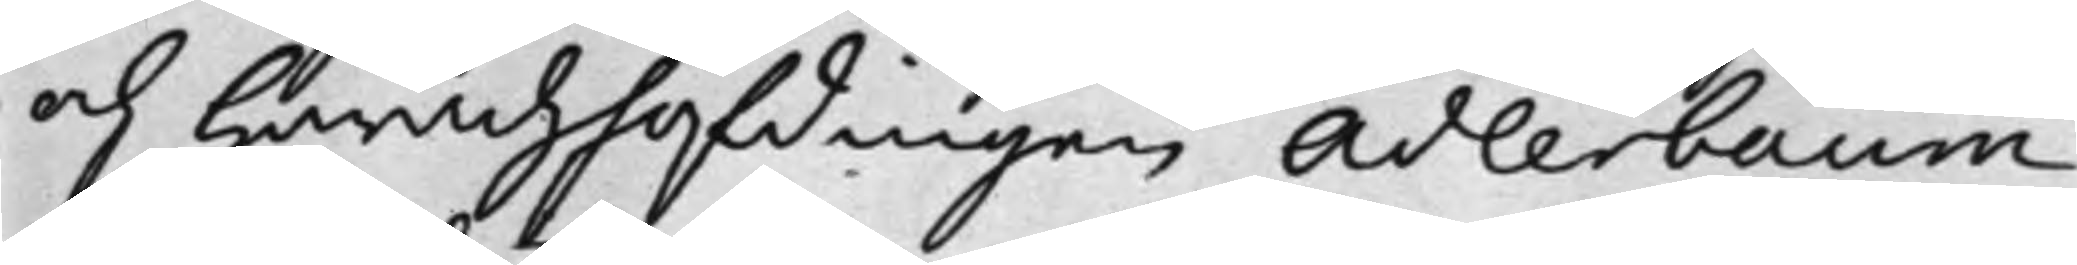och Häradzhöfdingen Adlerbaum,
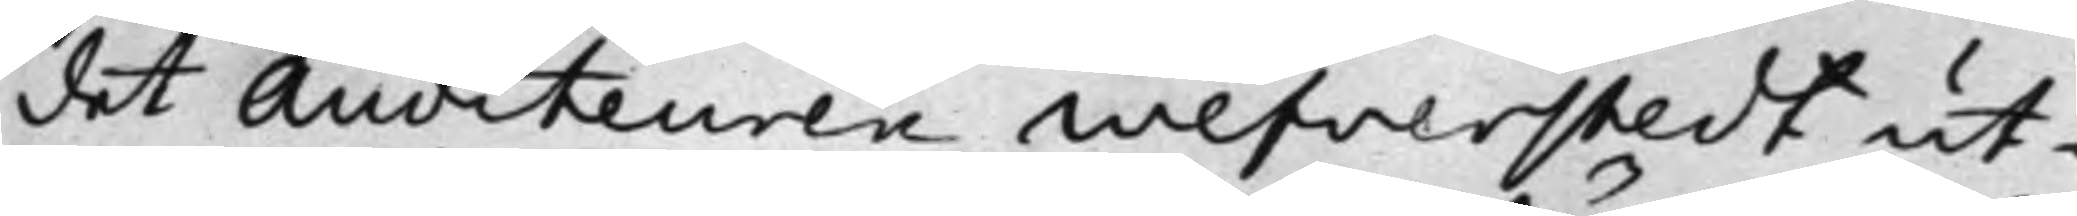det Auditeuren Wefverstedt ut¬
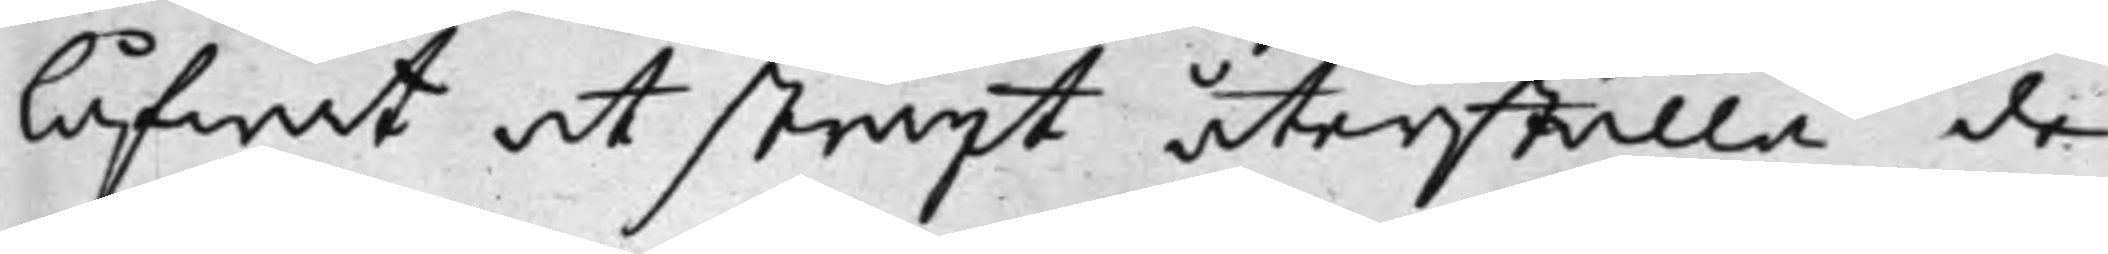låfwat at straxt återställa de
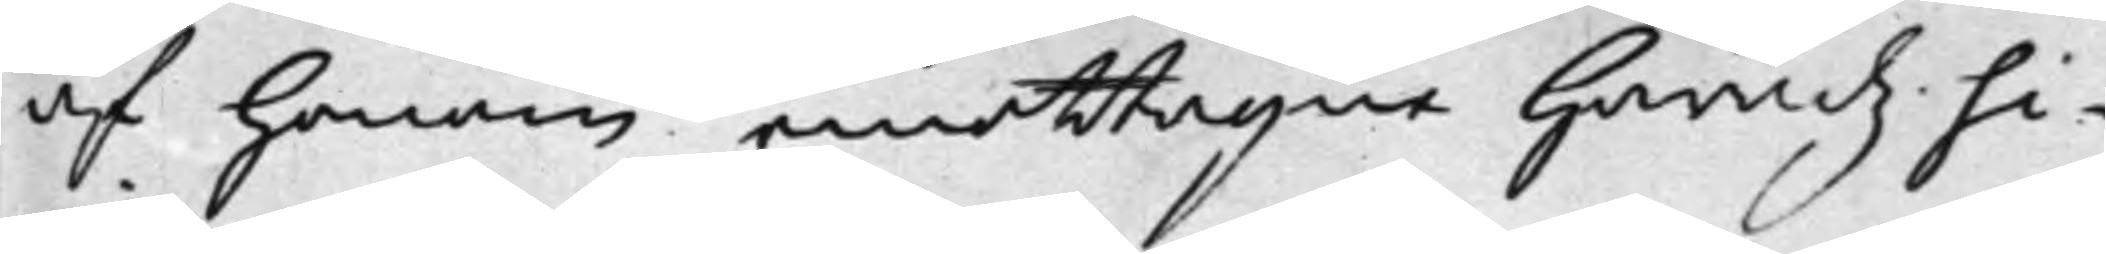af honom emottagne Häradzsi¬
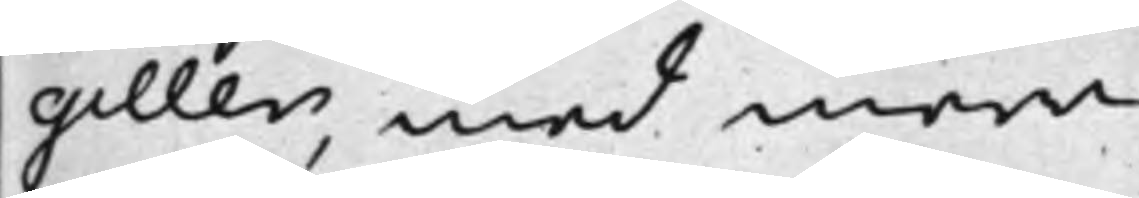giller, med mera.
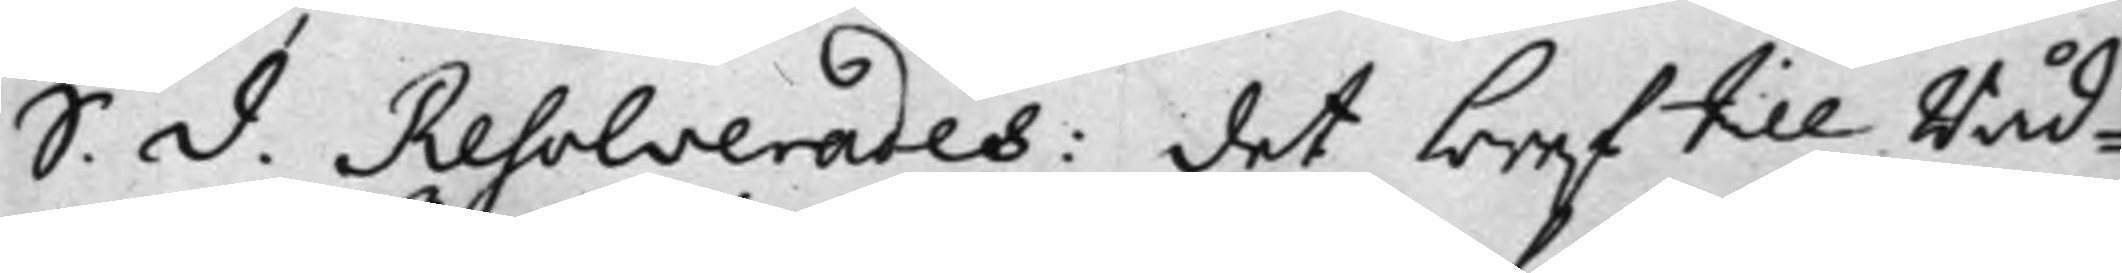S. d. Resolverades: det bref till Råd¬
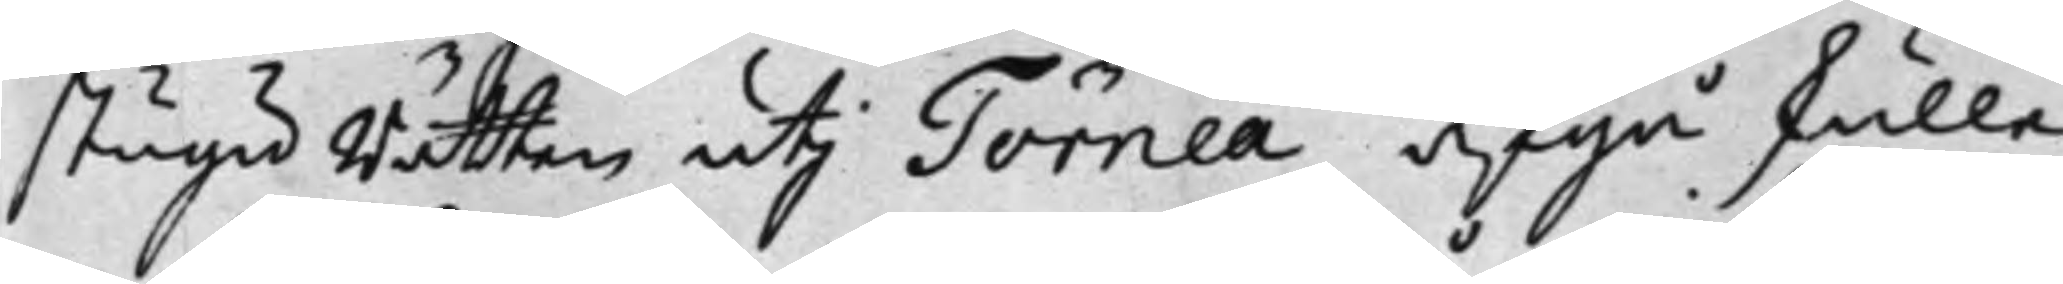stugu Rätten uti Törneå afgå skulle,
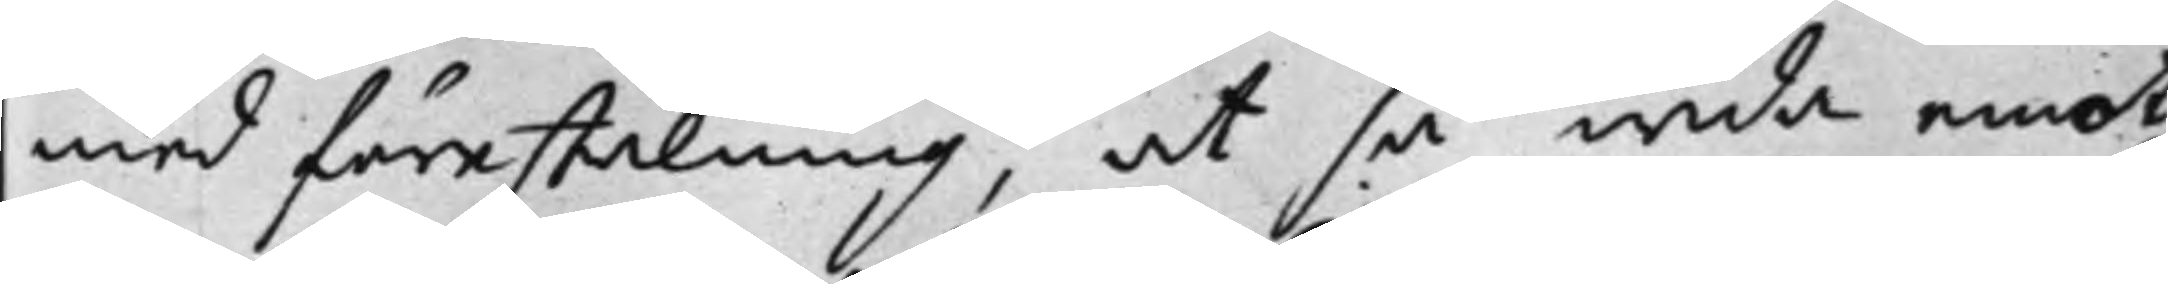med förestälning, at så wida emot
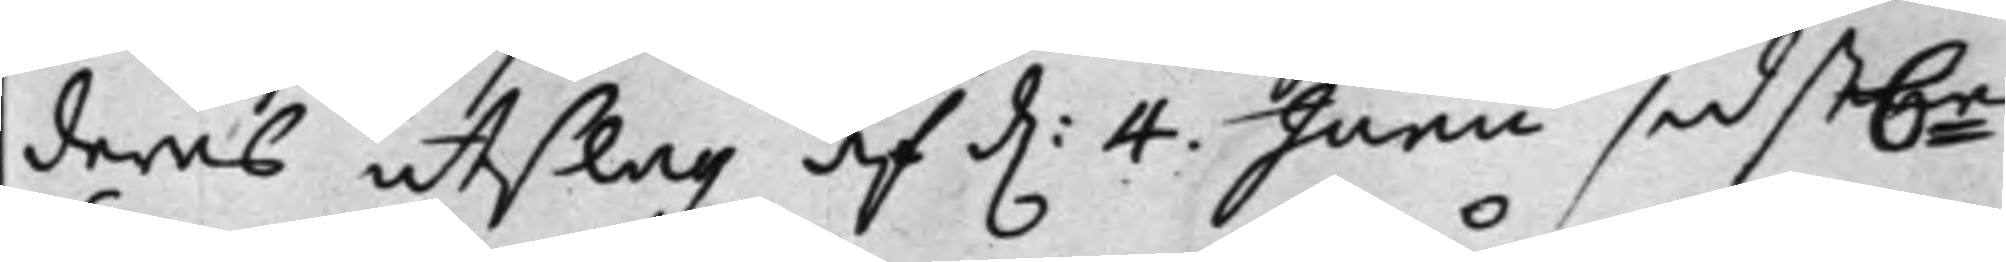deras utslag af d. 4. Junii sidst.e
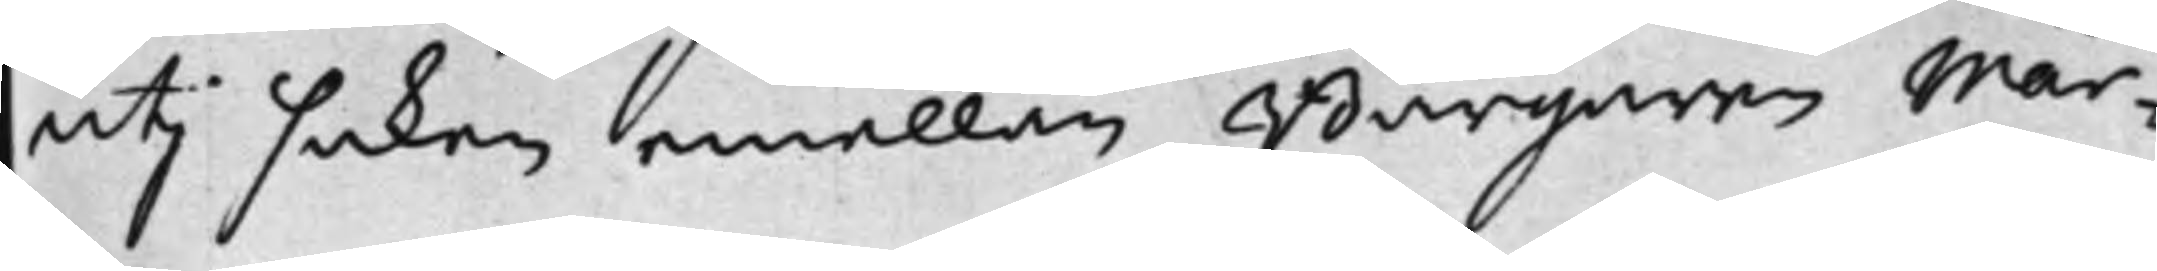uti saken emellan Borgaren Mår¬
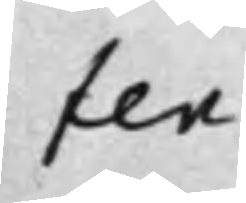ten
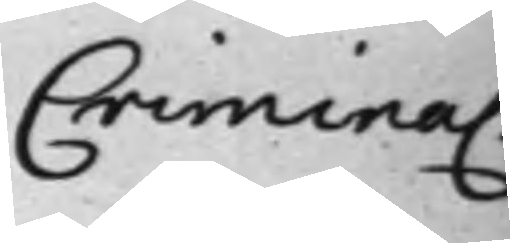Criminal.
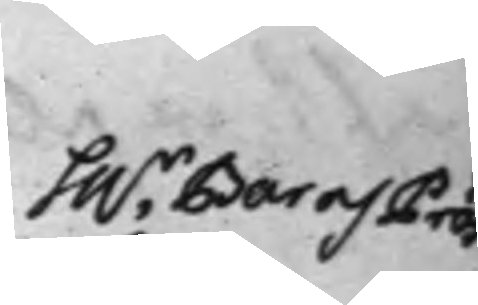h.r Bar och Præs
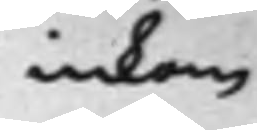inkom
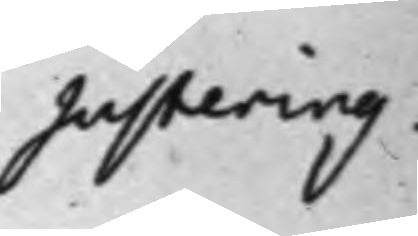Justering,
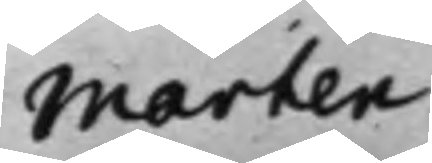Mårten 
